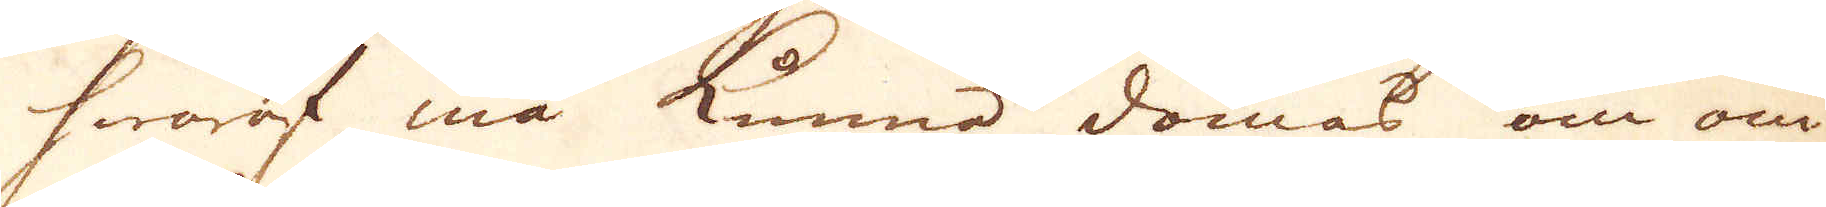hwaraf må kunna dömas om om-
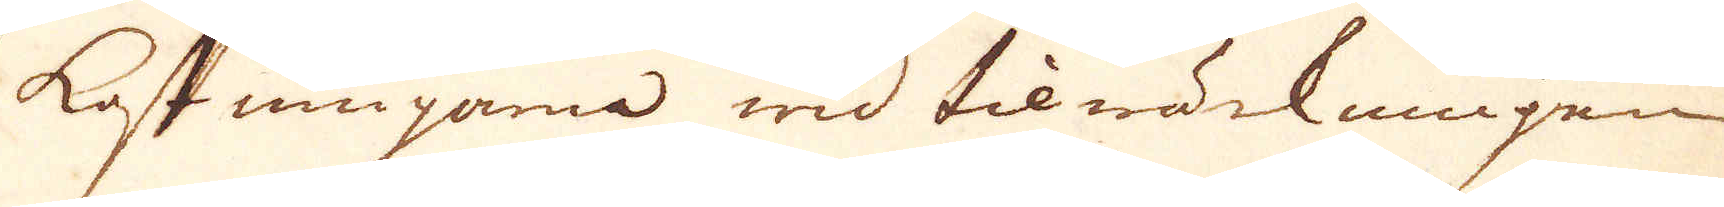kostningarna wid tilwärkningen,
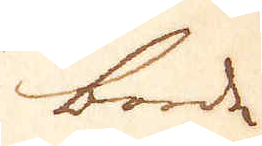borde
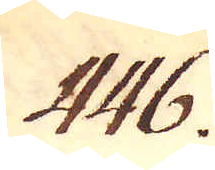446.
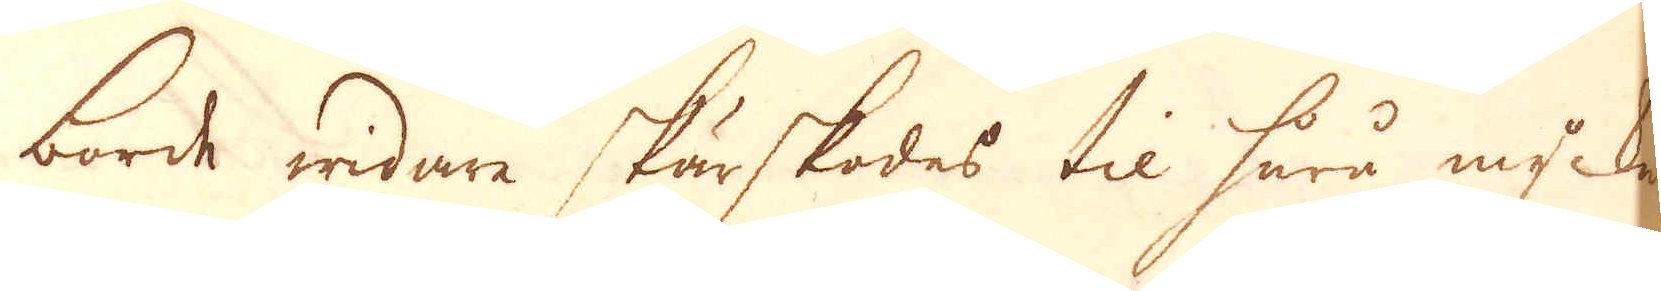borde widare skärskodes til huru mycket
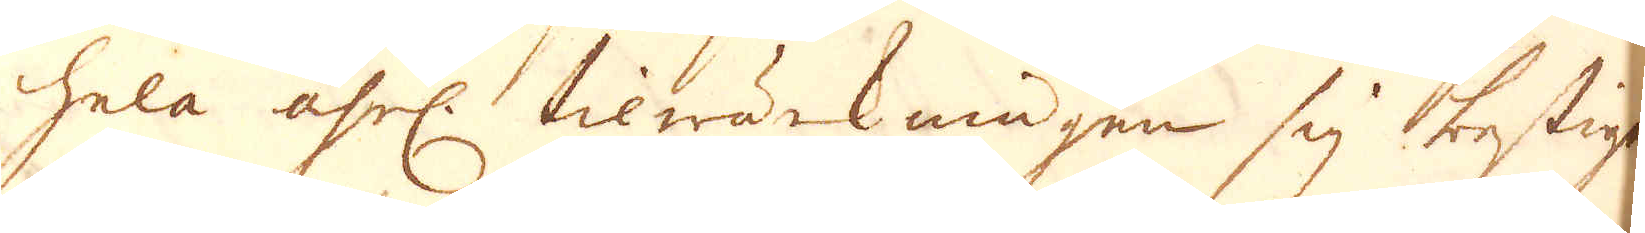hela åhrl. tilwärkningen sig bestiger,
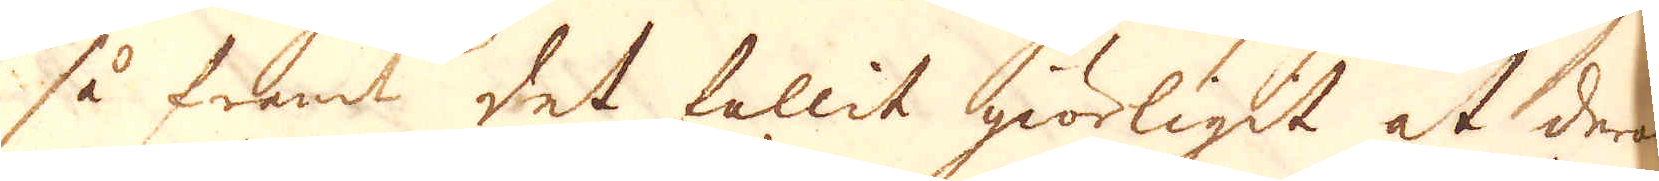så framt det fallit giörligit at deraf
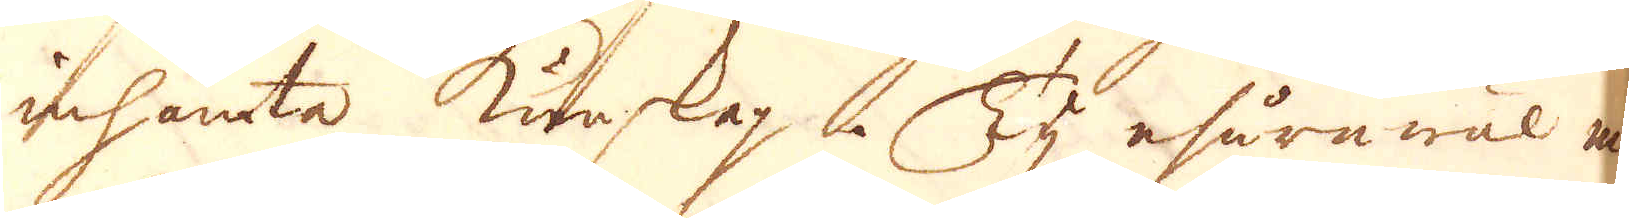inhämta kunskap. Ty ehuruwäl man
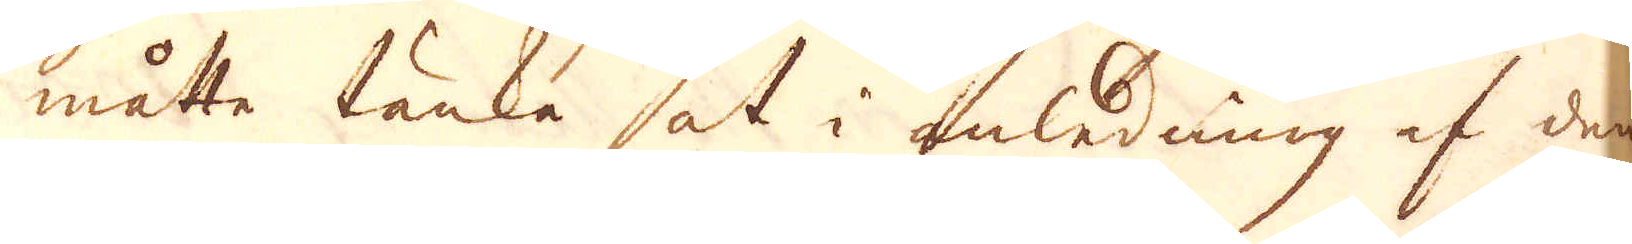måtte tänka at i anledning af den
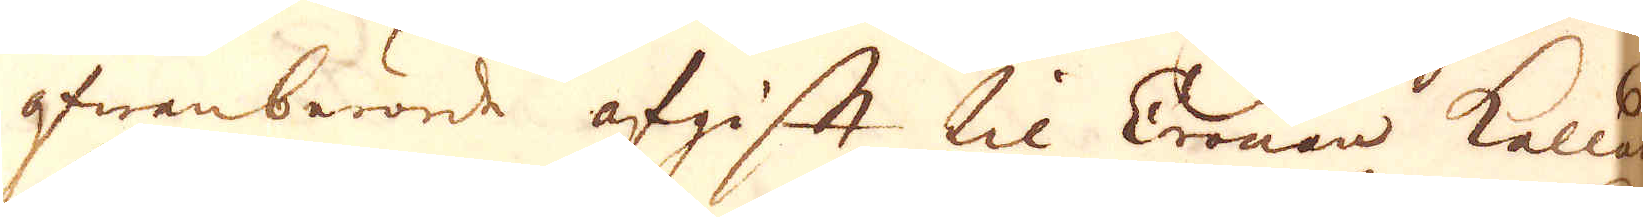ofwanberörde afgift til Cronan kallad
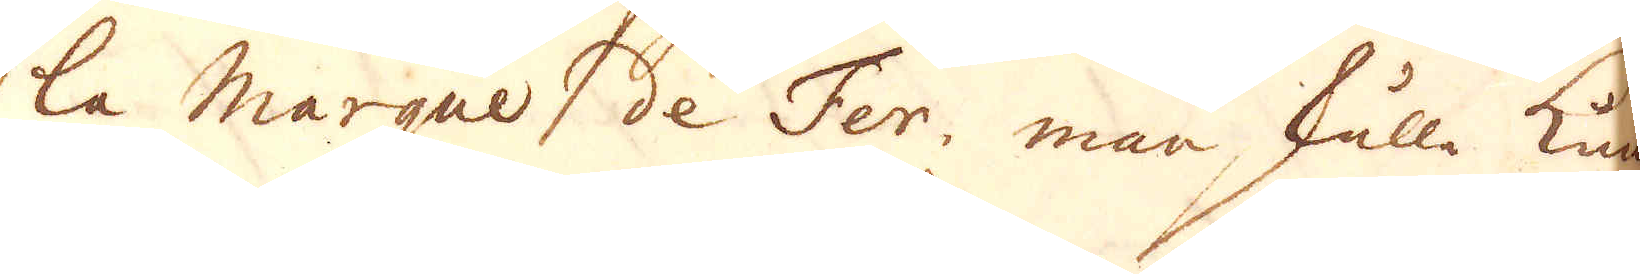la Marque de Fer, man skulle kun-
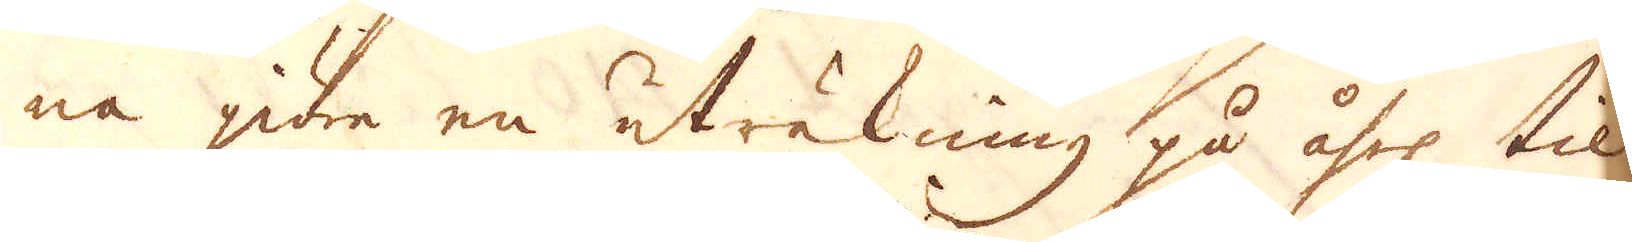na giöra en uträkning på åhrl til-
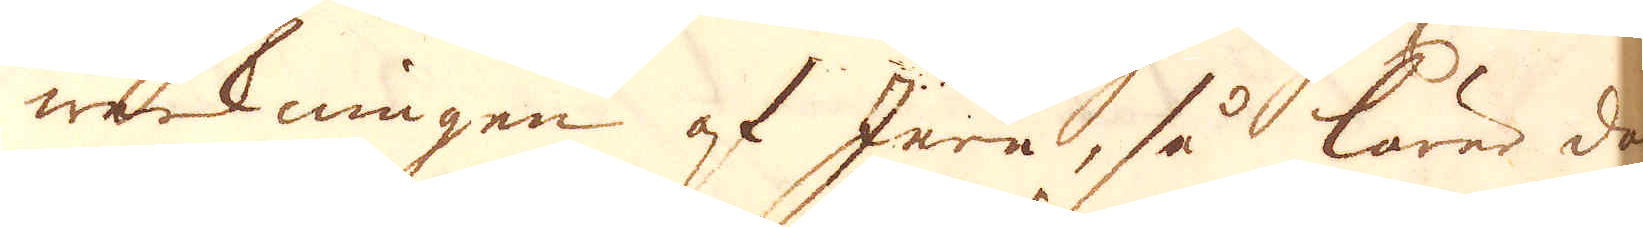werkningen af Jern, så lärer doch
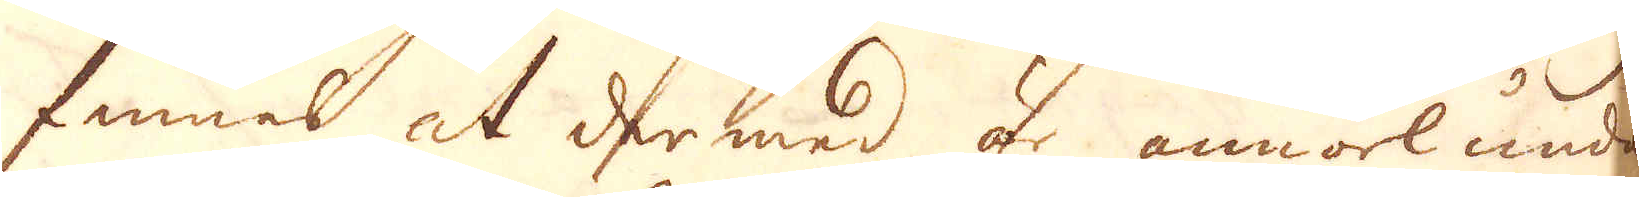finnes at dermed är annorlunda
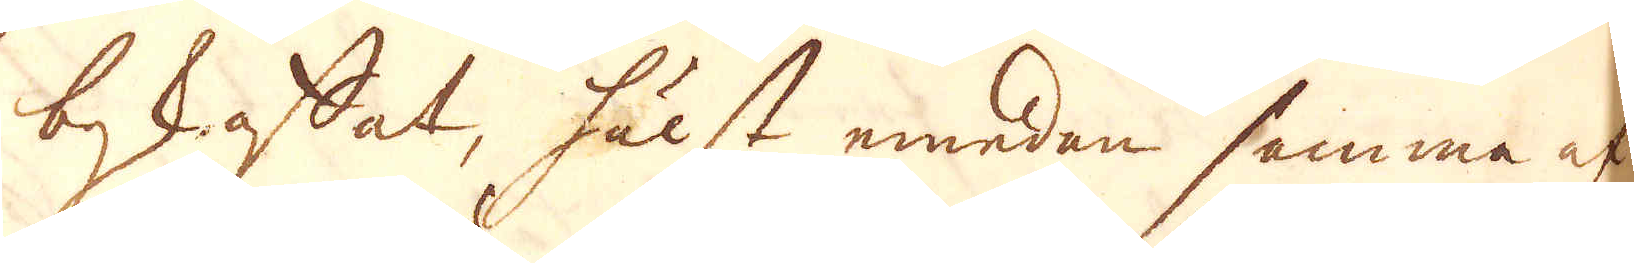beskaffat, hälst emedan samma af-
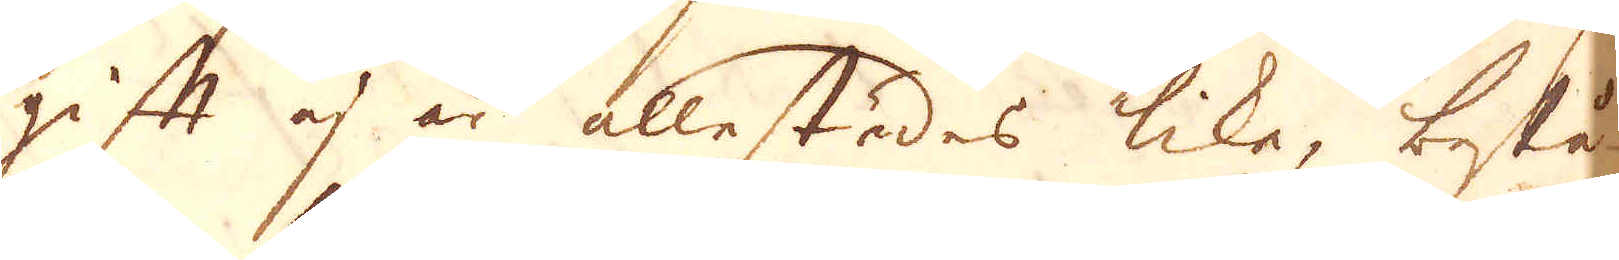gift ej är allestädes like, bestå-
